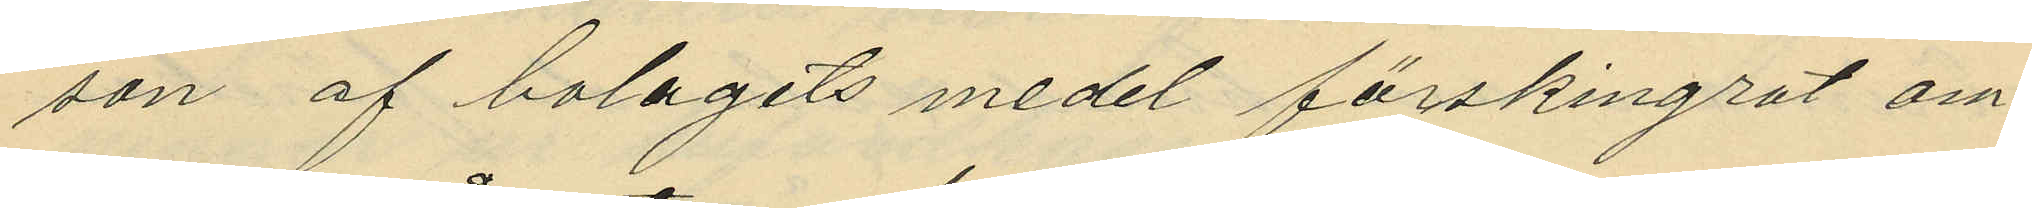son af bolagets medel förskingrat om¬
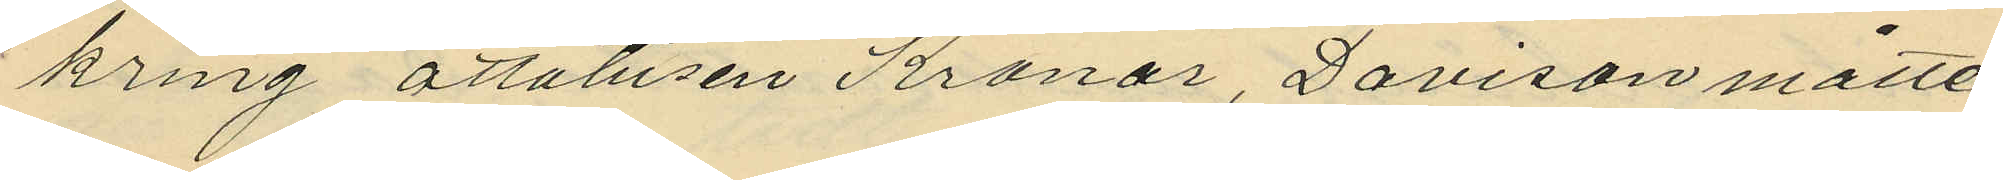kring åttatusen Kronor, Davison måtte
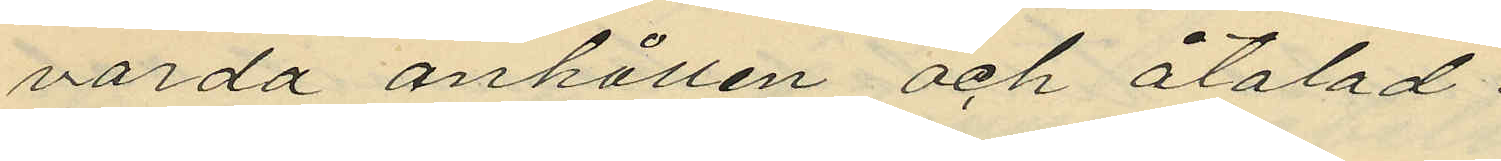varda anhållen och åtalad.
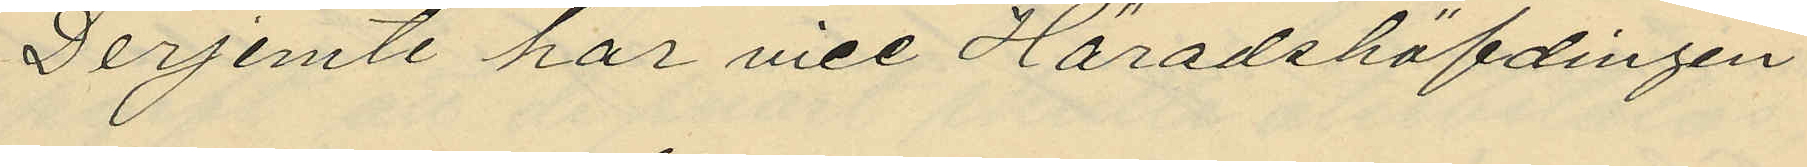Derjemte har vice Häradshöfdingen
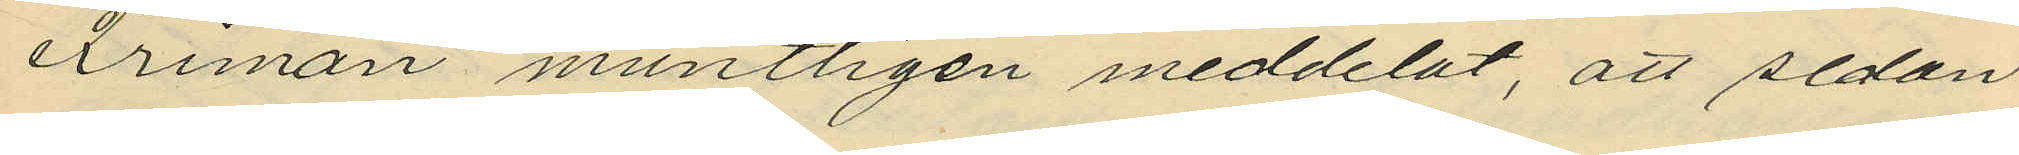Friman muntligen meddelat, att sedan
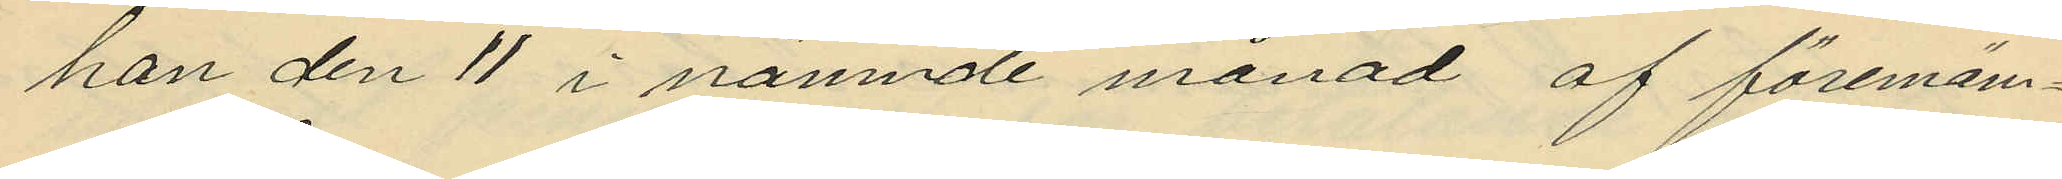han den 11 i nämnde månad af förenäm¬
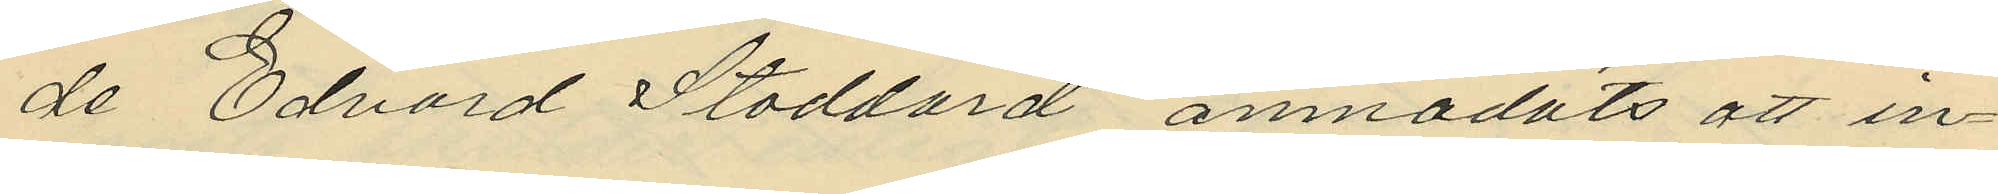de Edvard Stoddard anmodats att in¬
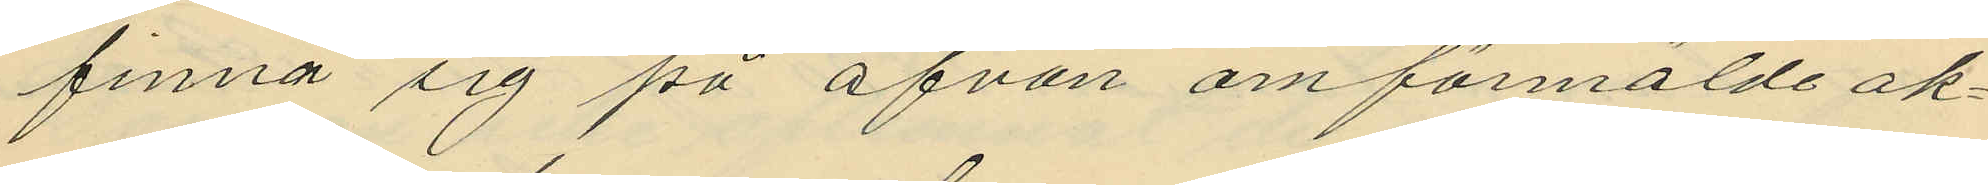finna sig på ofvan omförmälde ak¬
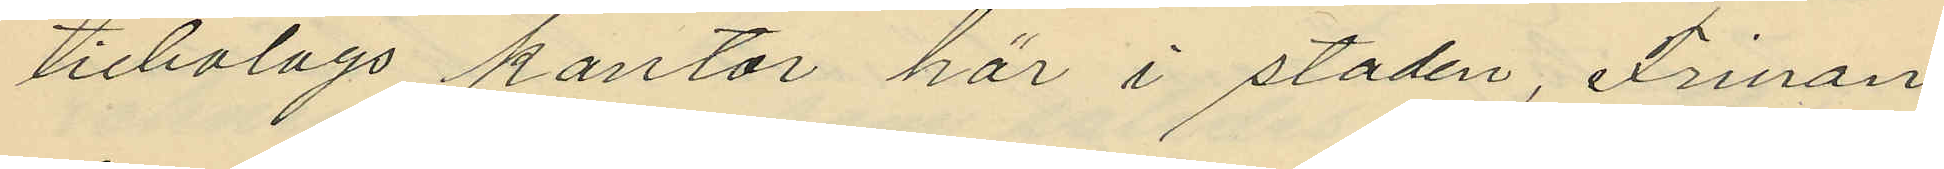tiebolags kontor här i staden, Friman
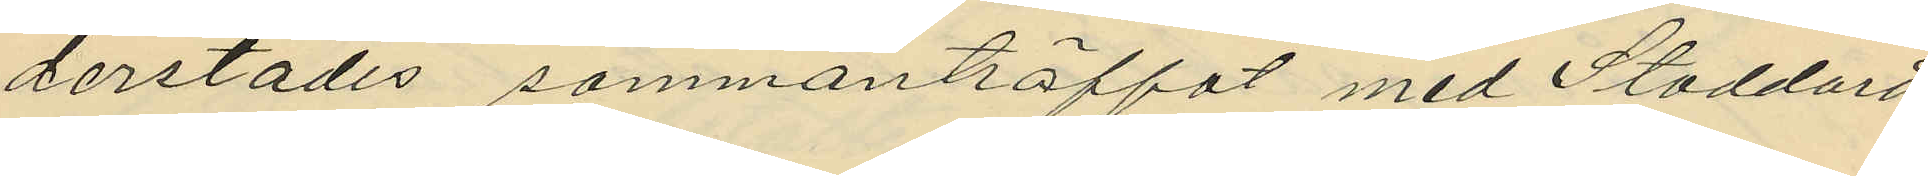derstädes sammanträffat med Stoddard
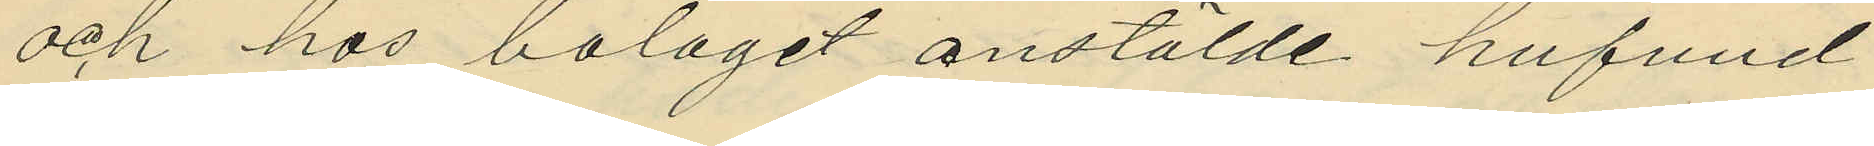och hos bolaget anstälde hufvud¬
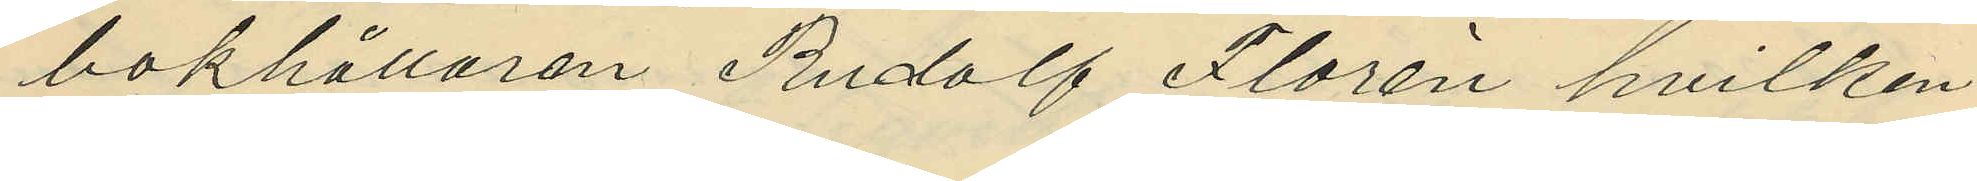bokhållaren Rudolf Florén hvilken
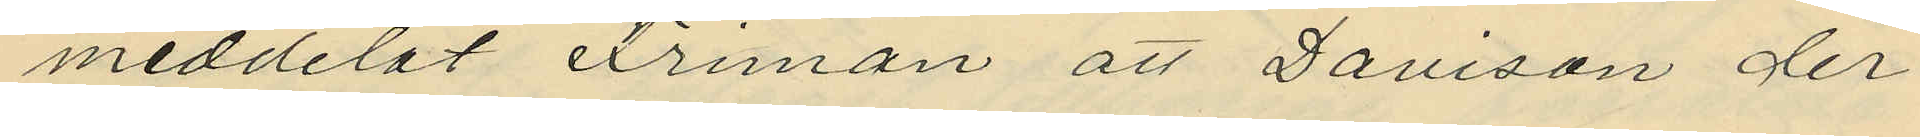meddelat Friman att Davison der
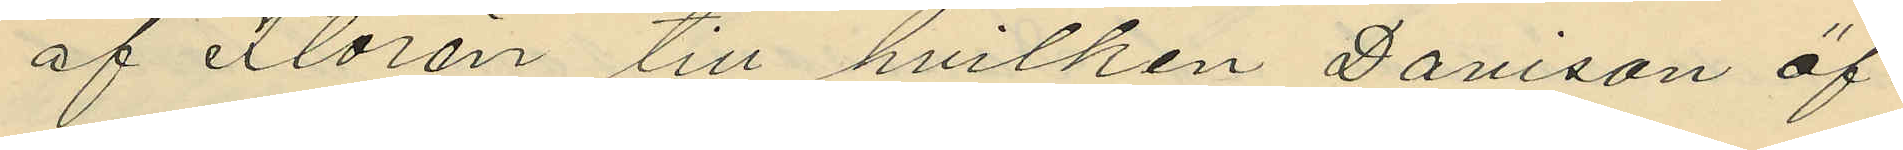af Florén till hvilken Davison öf¬
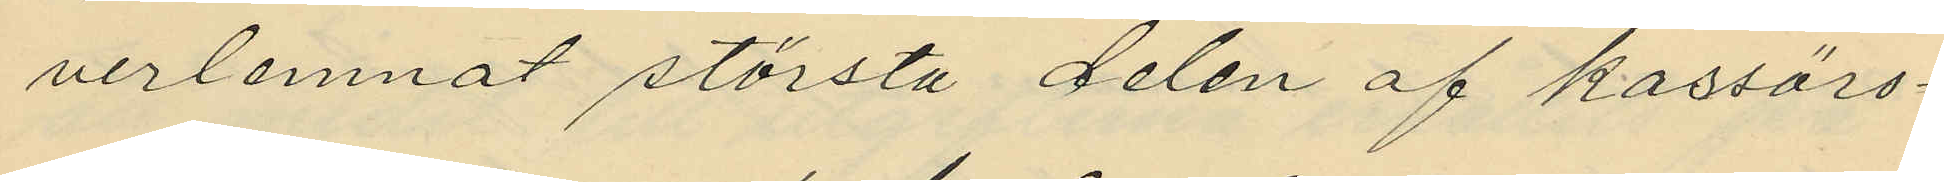verlemnat största delen af kassörs¬
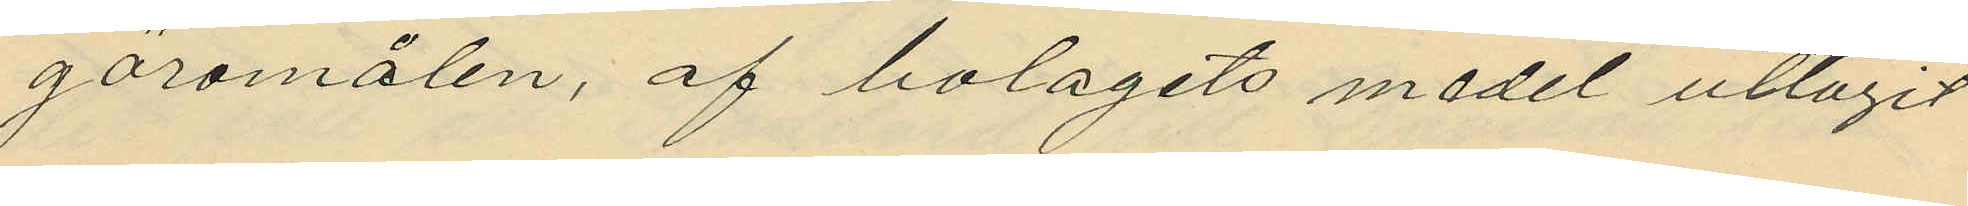göromålen, af bolagets medel uttagit
